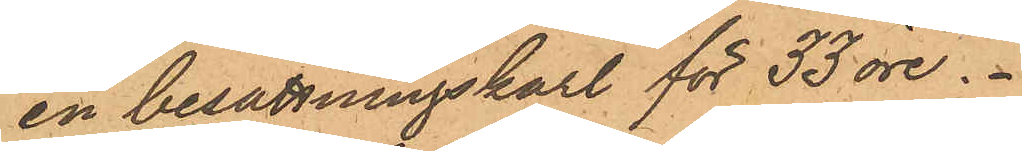en besättningskarl för 33 öre.
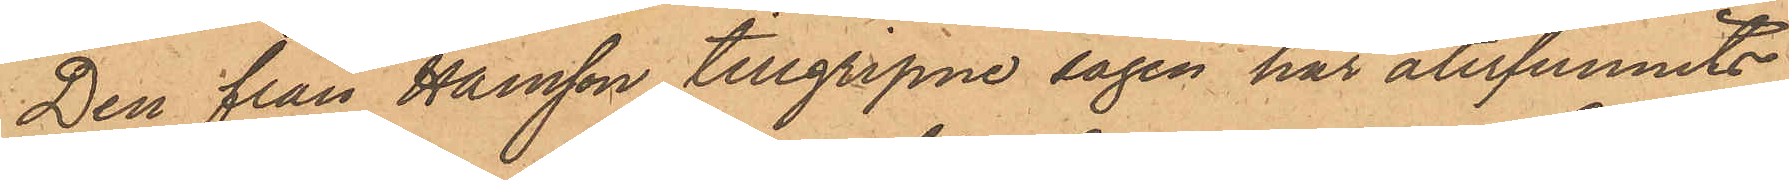Den från Hansson tillgripne sågen har återfunnits
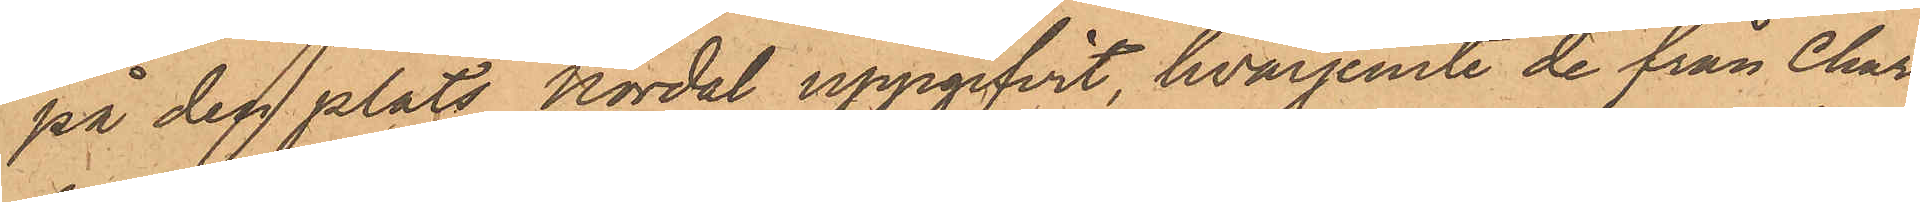på den plats Nordal uppgifvit, hvarjemte de från Char¬
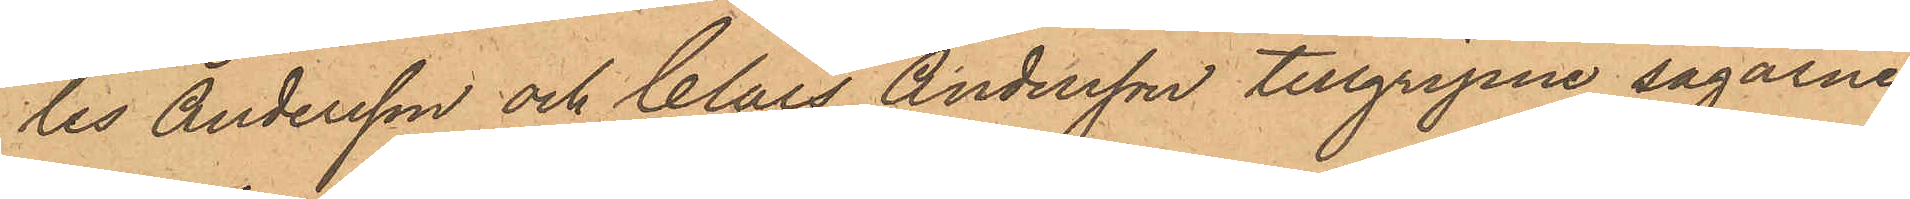les Andersson och Claes Andersson tillgripne sågarne
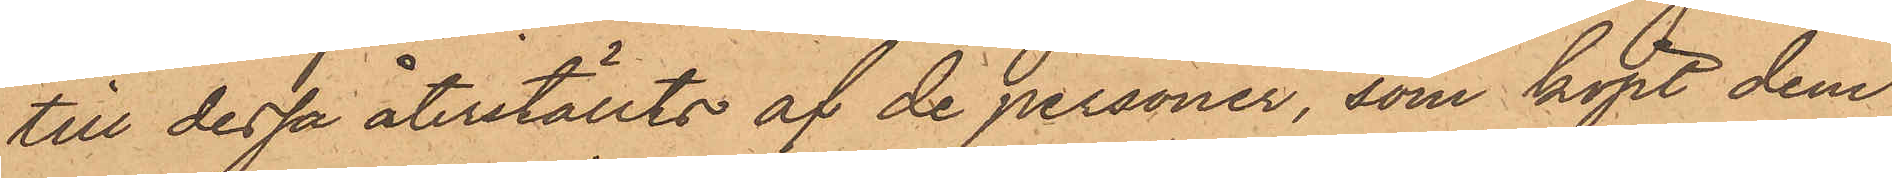till dessa återställts af de personer, som köpt dem
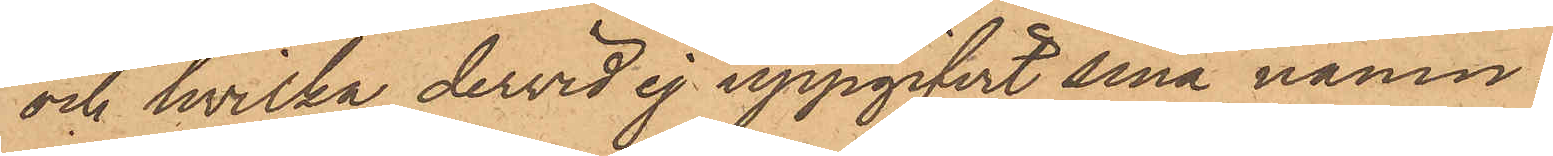och hvilka dervid ej uppgifvit sina namn¬
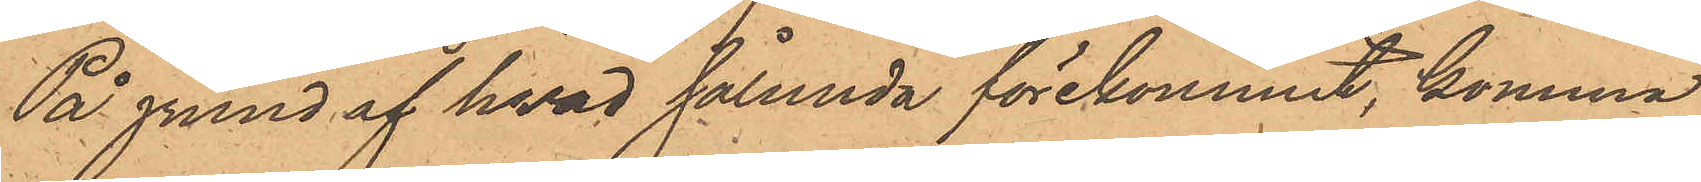På grund af hvad sålunda förekommit, komma
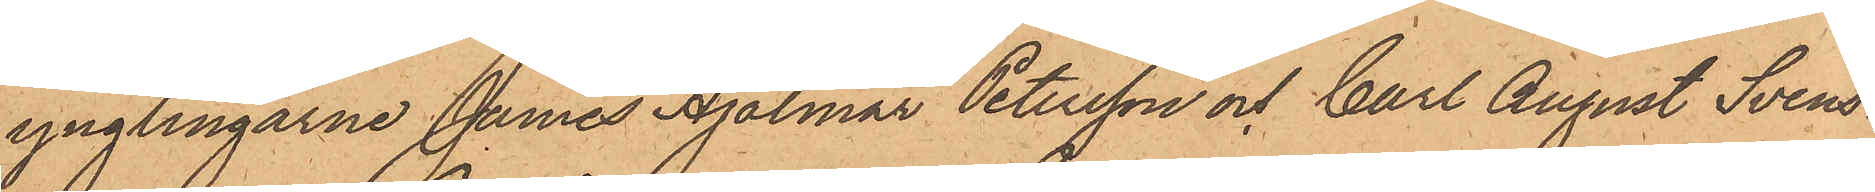ynglingarne James Hjalmar Petersson och Carl August Svens¬
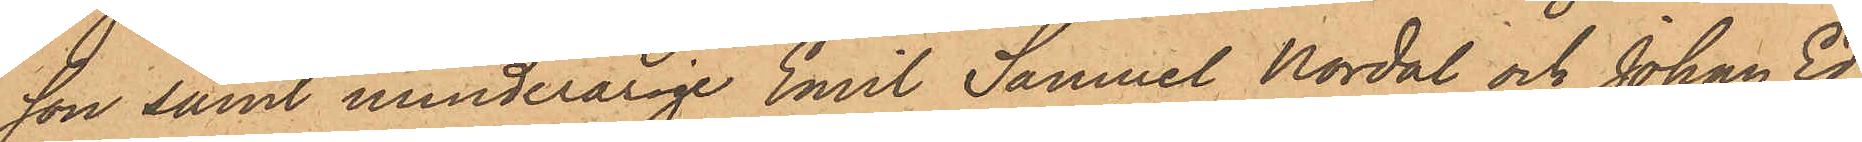son samt minderårige Emil Samuel Nordal och Johan Ed¬
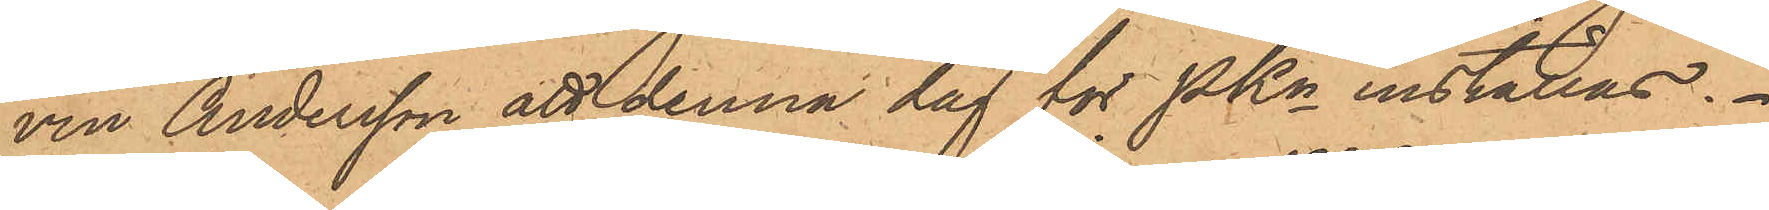vin Andersson att denna dag för PKn inställas.
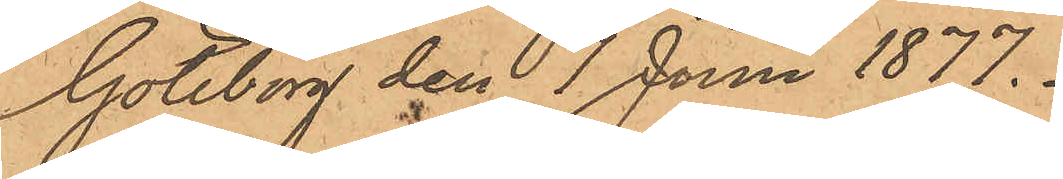Göteborg den 7 Juni 1877.
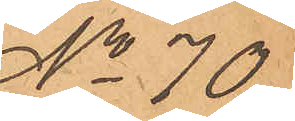No 70
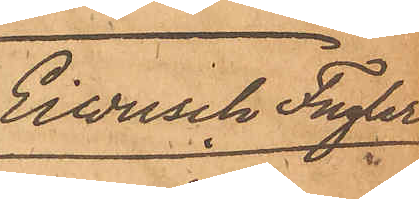Einrisch Fugler
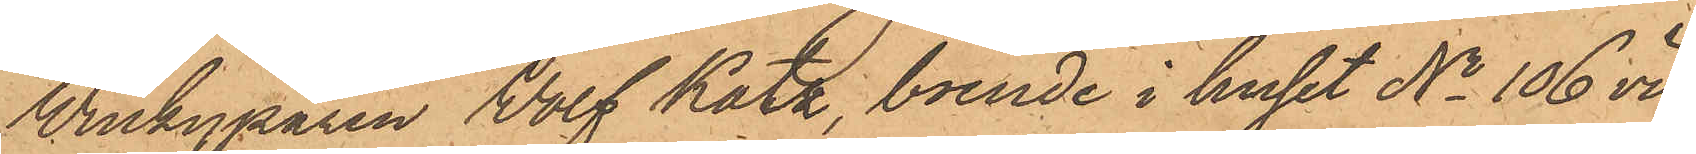Winkyparen Wolf Katz, boende i huset No 106 vid
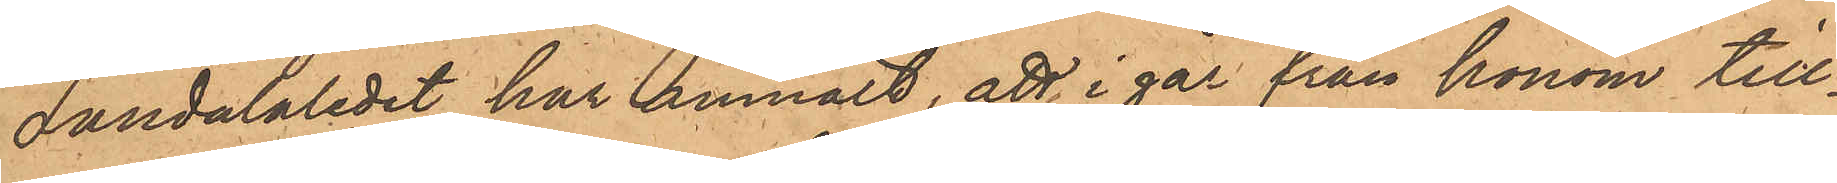Landalaledet har anmält, att i går från honom till¬
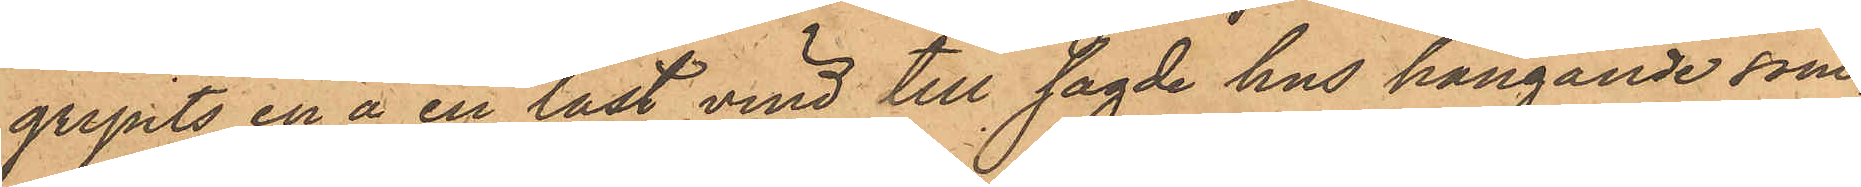gripits en å en låst vind till sagde hus hängande som¬
